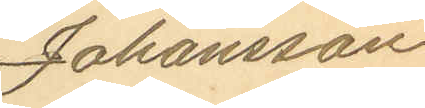Johansson
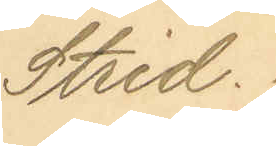Strid.
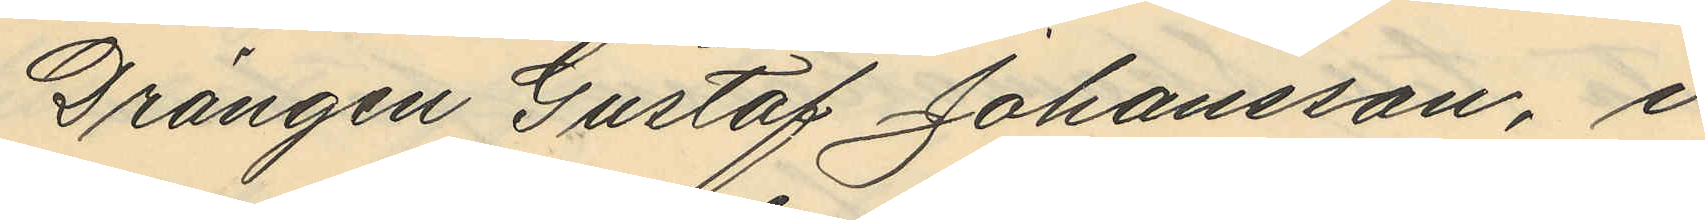Drängen Gustaf Johansson, i
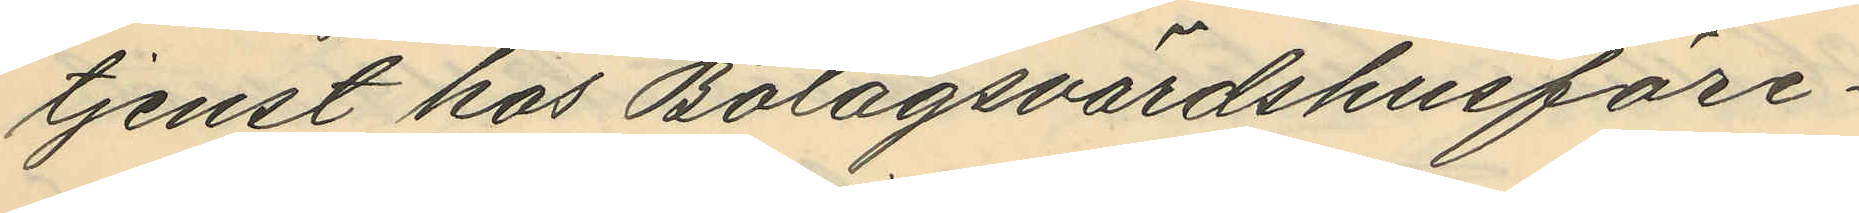tjenst hos Bolagsvärdshusföre¬
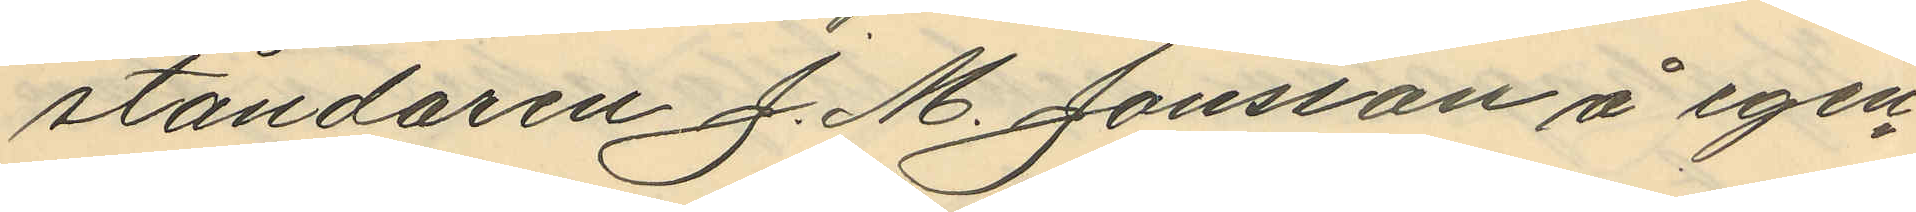ståndaren J. M. Jonsson å egen¬
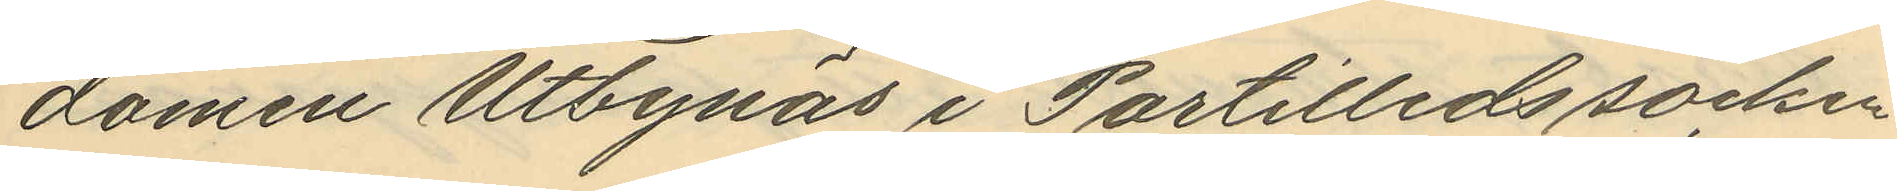domen Utbynäs i Partilleds socken
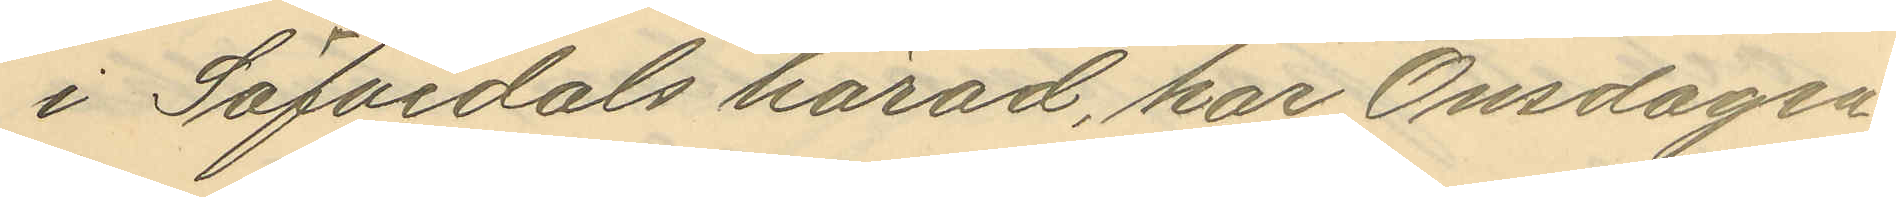i Säfvedals härad, har Onsdagen
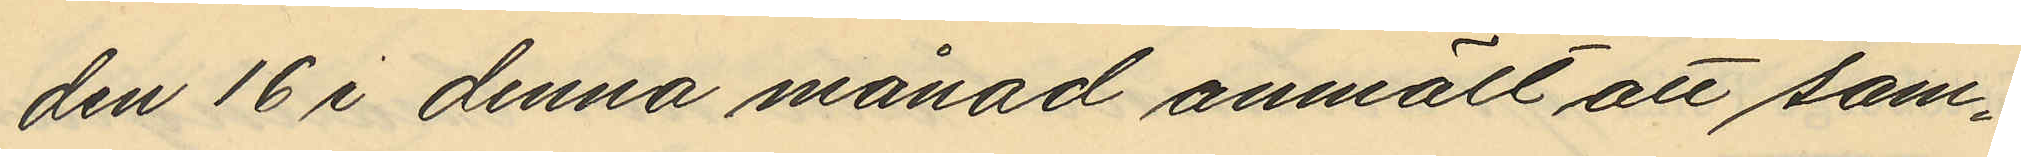den 16 i denna månad anmält att sam¬
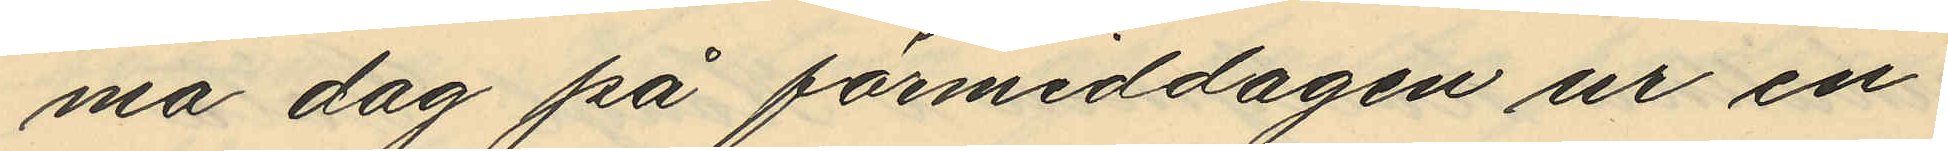ma dag på förmiddagen ur en
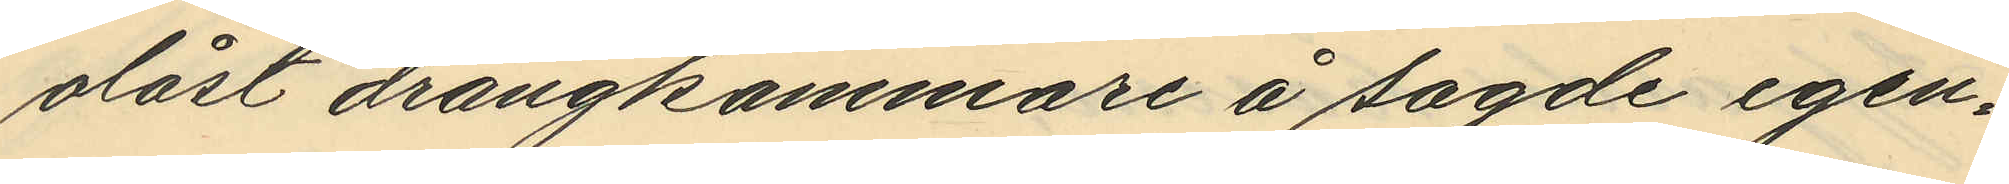olåst drängkammare å sagde egen¬
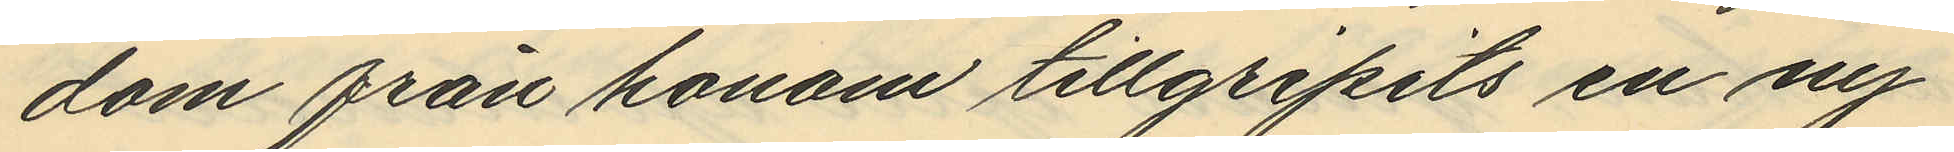dom från honom tillgripits en ny
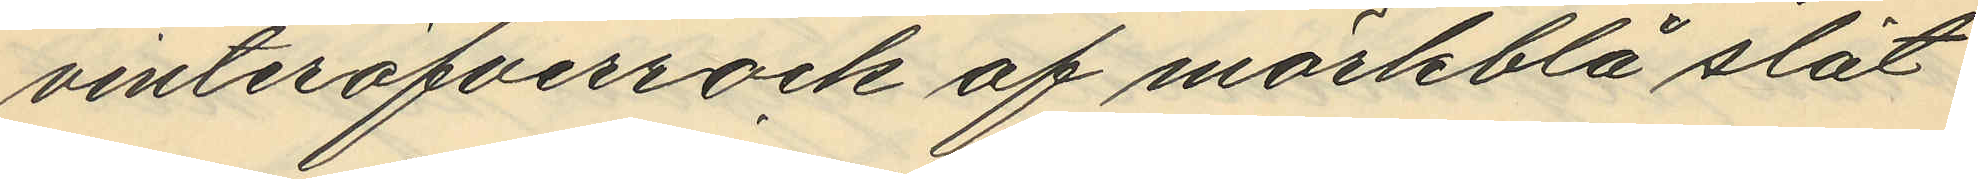vinteröfverrock af mörkblå slät
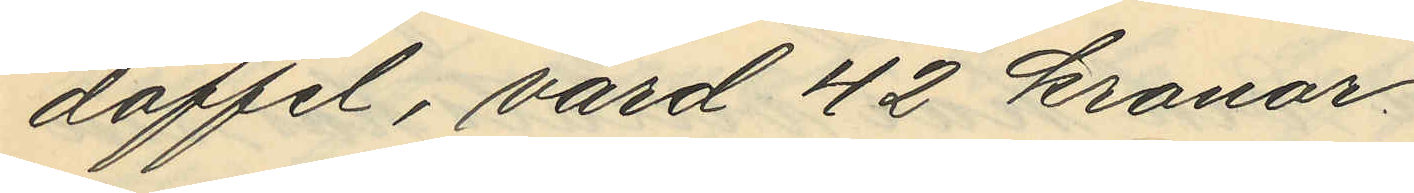doffel, värd 42 kronor.
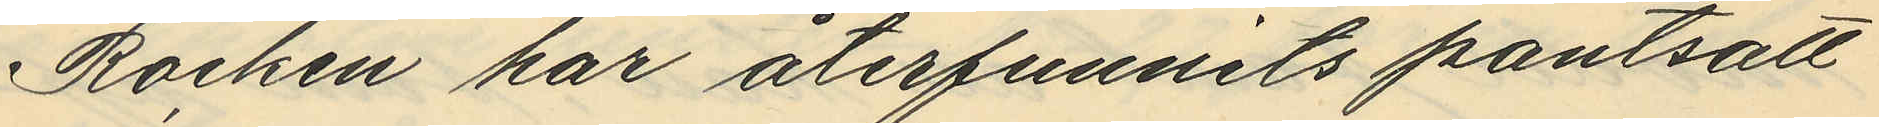Rocken har återfunnits pantsatt
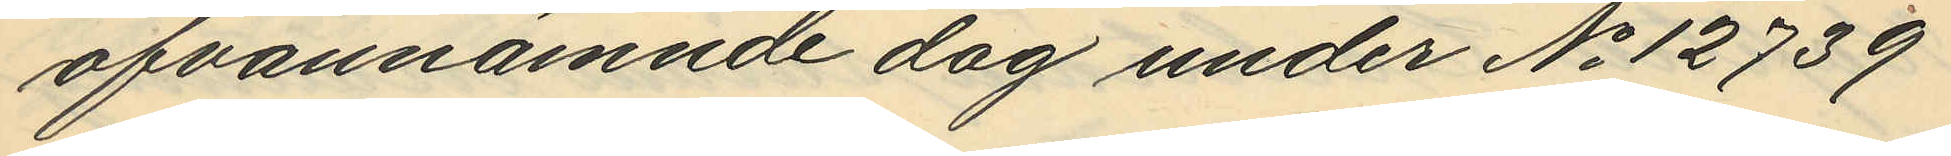ofvannämnde dag under No 12739
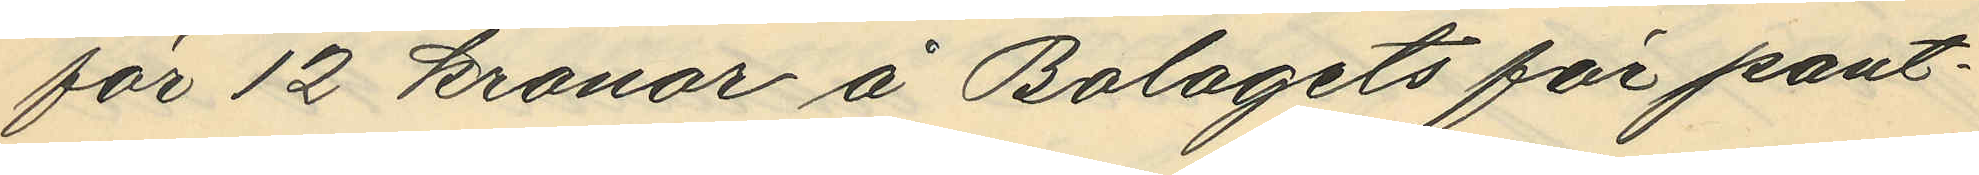för 12 kronor å Bolagets för pant¬
